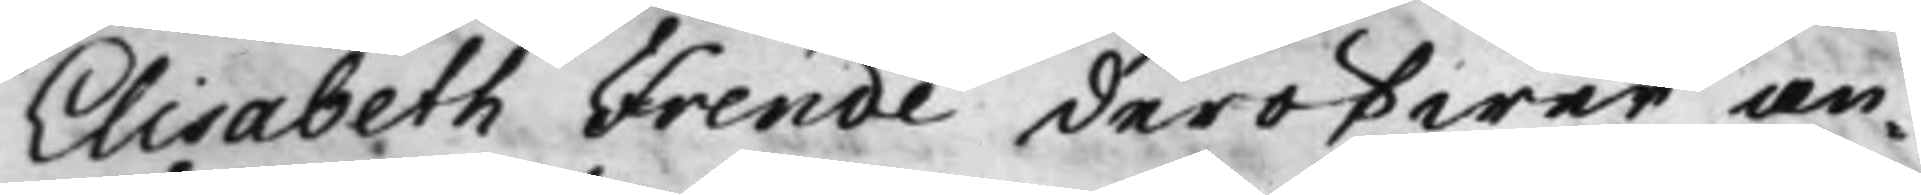Elisabeth Frende deröfwer an¬
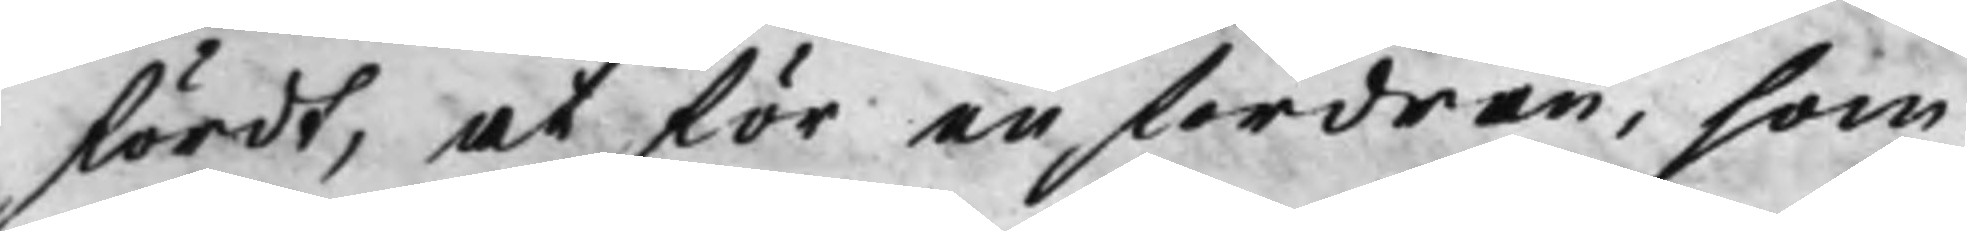fördt, at för en fordran, som
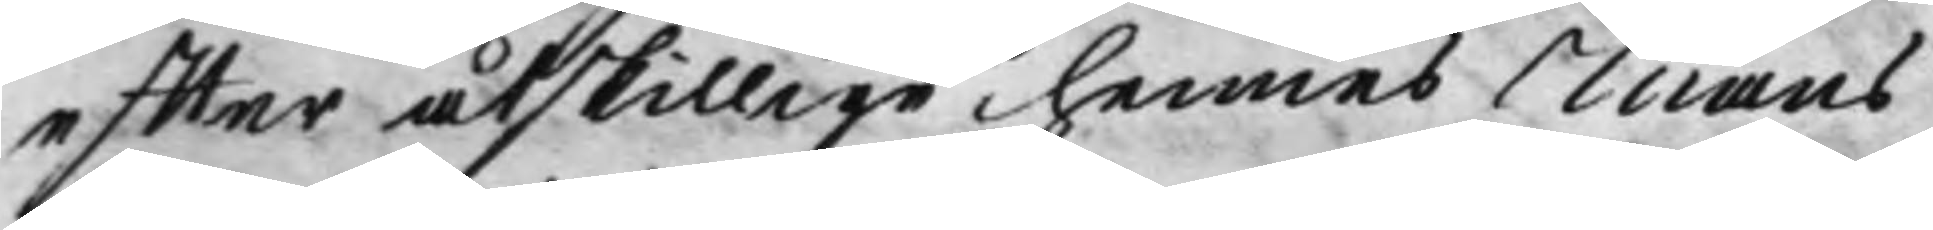effter åtskillige hennes Mans
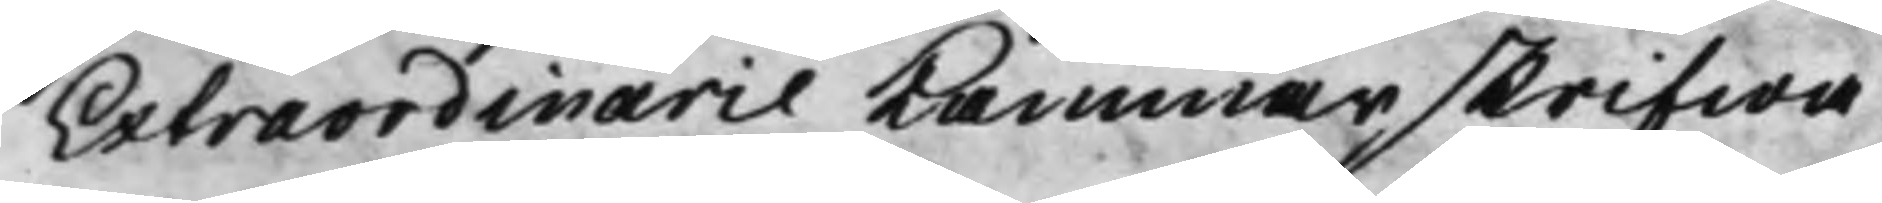Extraordinarie Kammarskrifwa¬
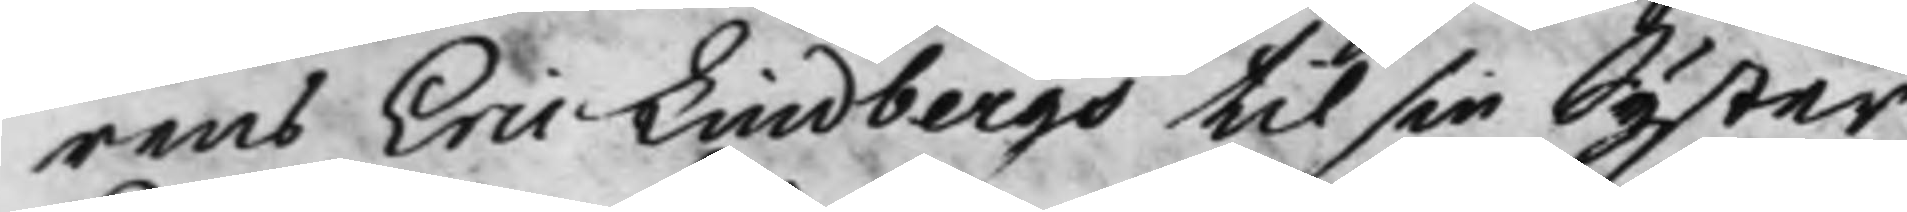rens Eric Lindbergs til sin Syster
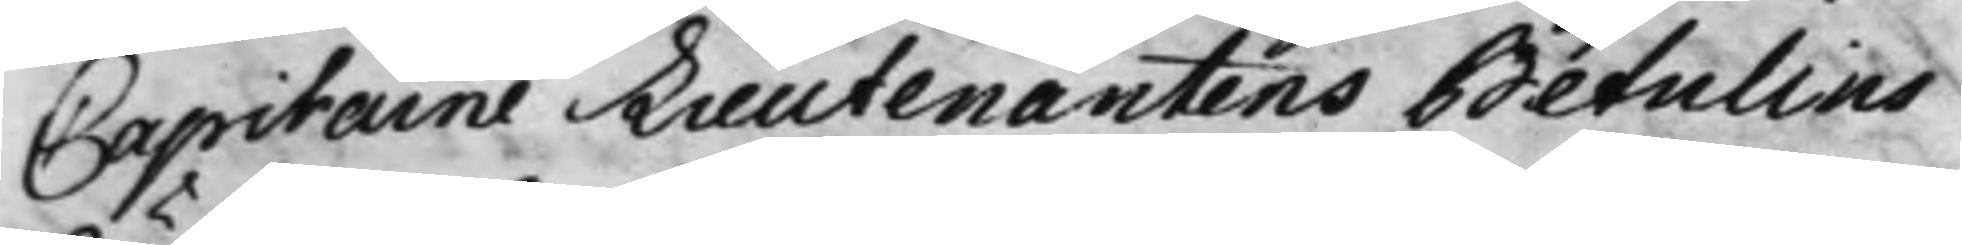Capitaine Lieutenantens Betulins
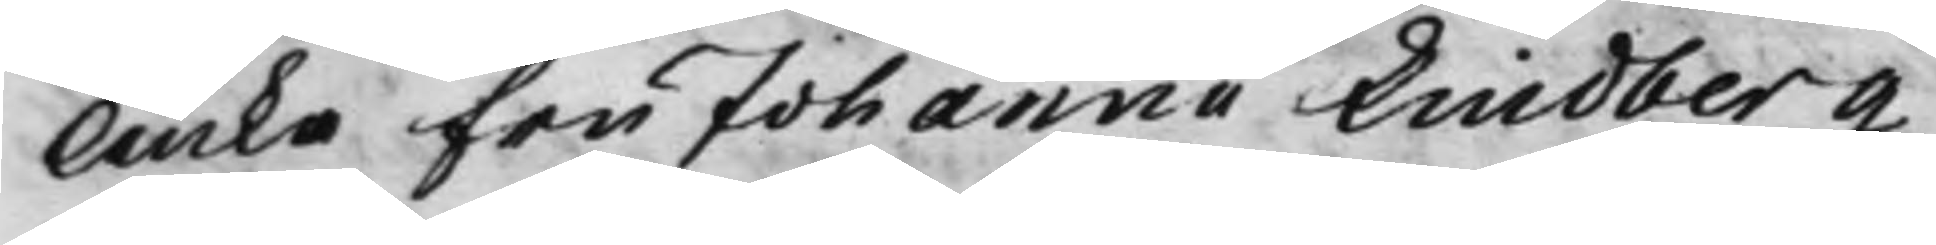Änka Fru Johanna Lindberg
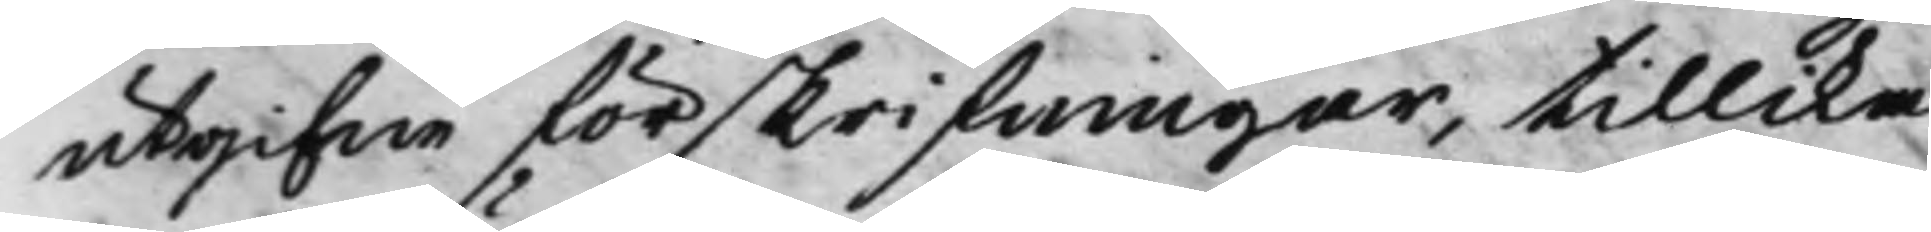utgifne förskrifningar, tillika
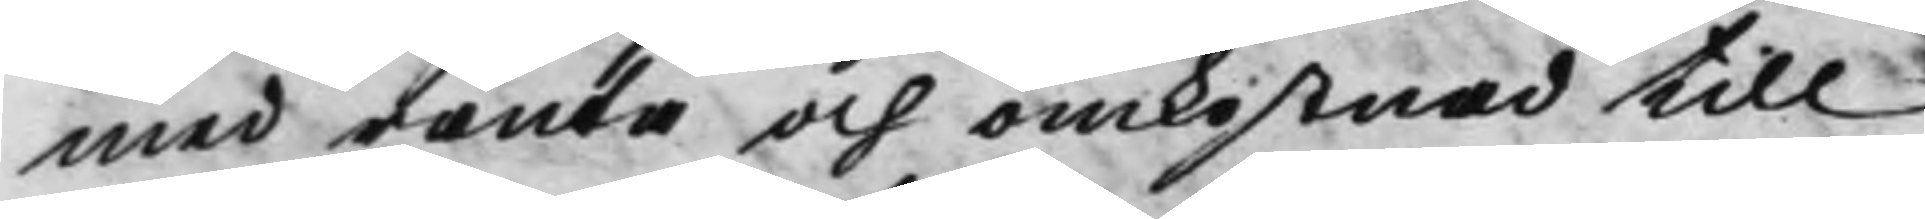med ränta och omkostnad till
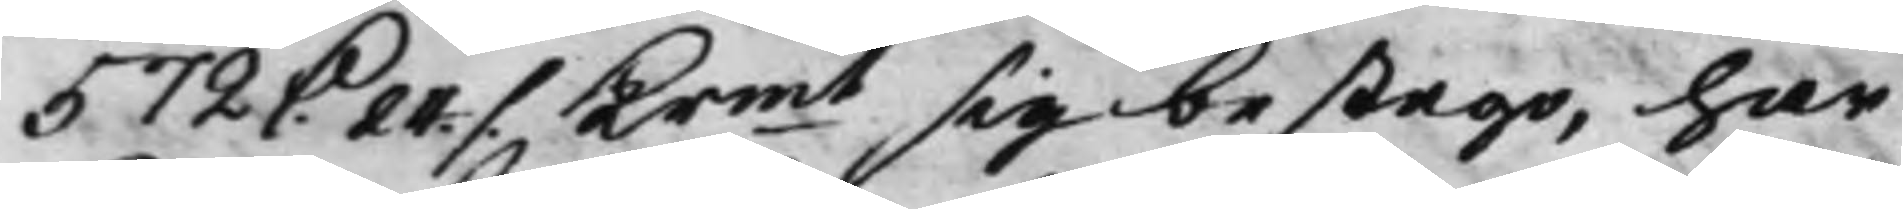572 D. 24 ./. Krmt sig bestego, har
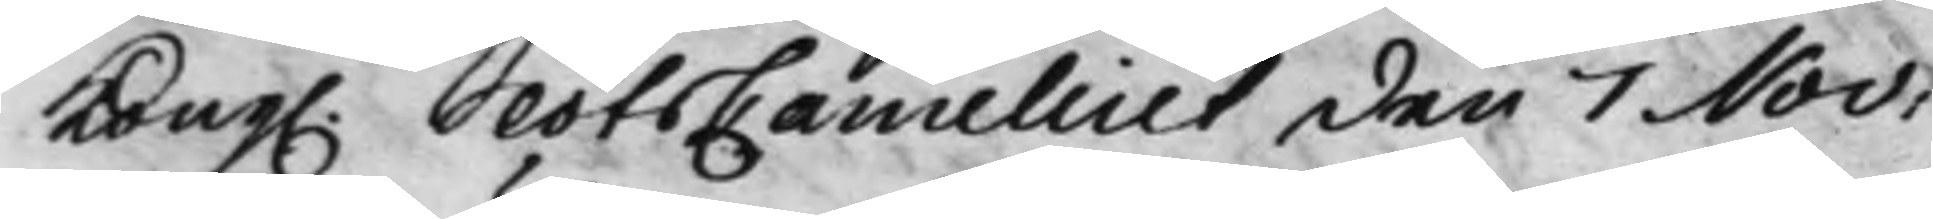Kong. SlotsCancelliet den 7 Nov:
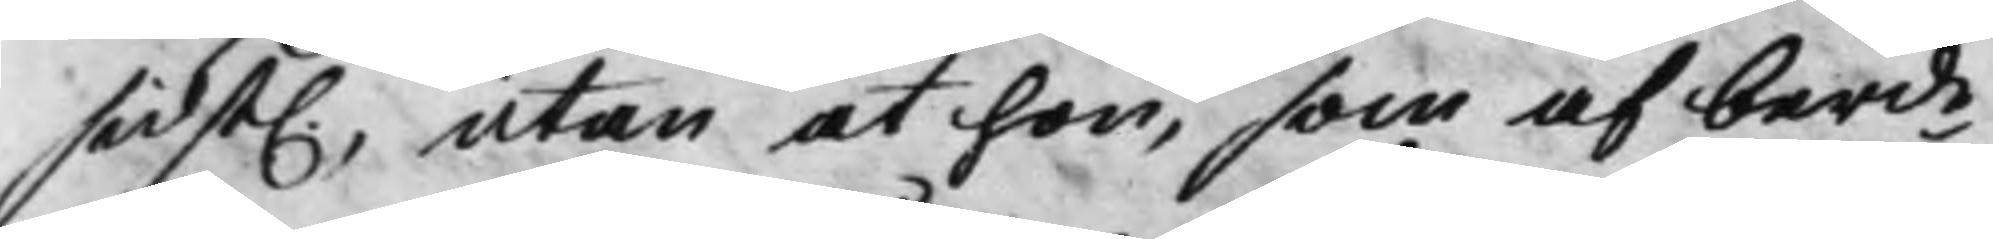sidst., utan at hon, som af berde
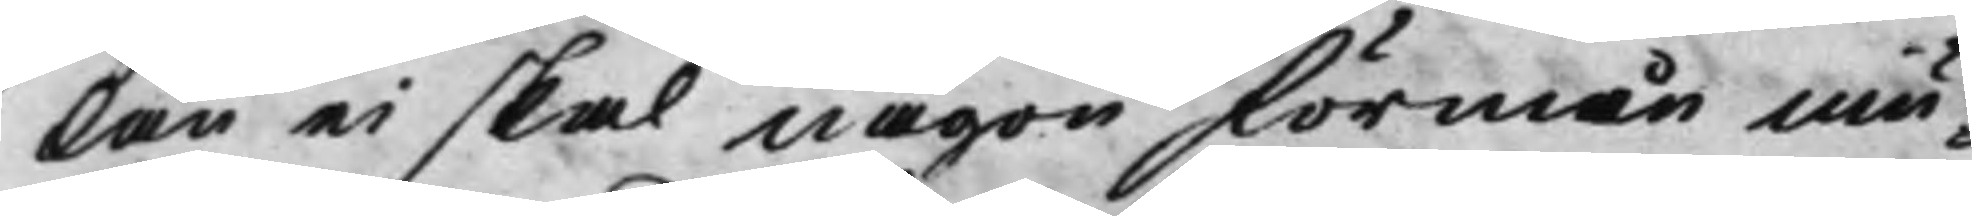lån ei skal någon förmån niu¬
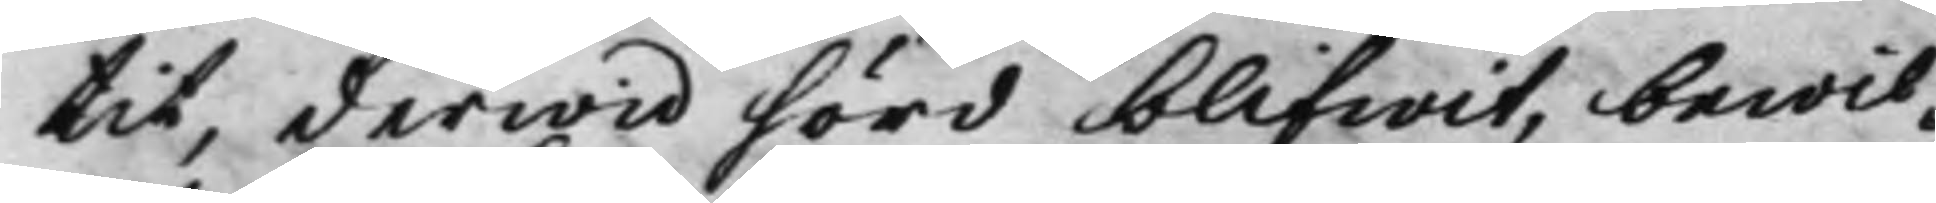tit, derwid förd blifwit, bewil¬
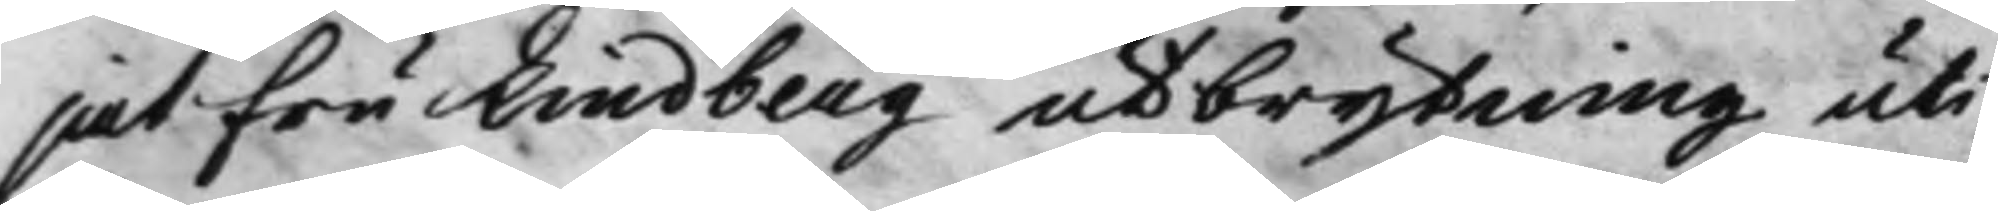jat Fru Lundberg utbrytning uti
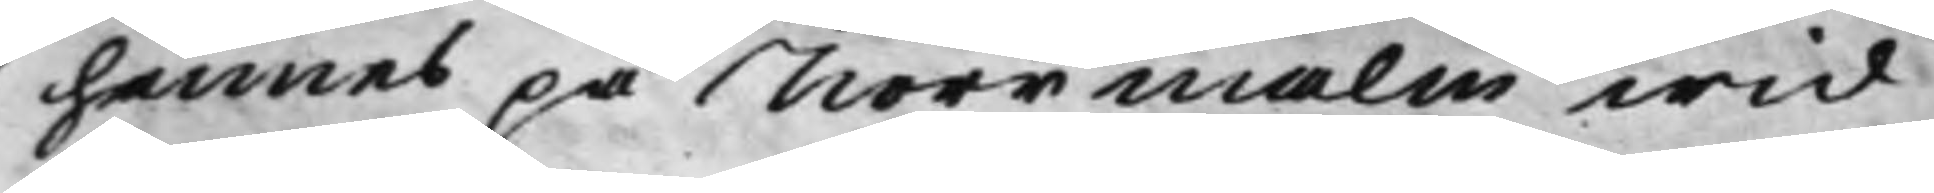hennes på Norrmalm wid
